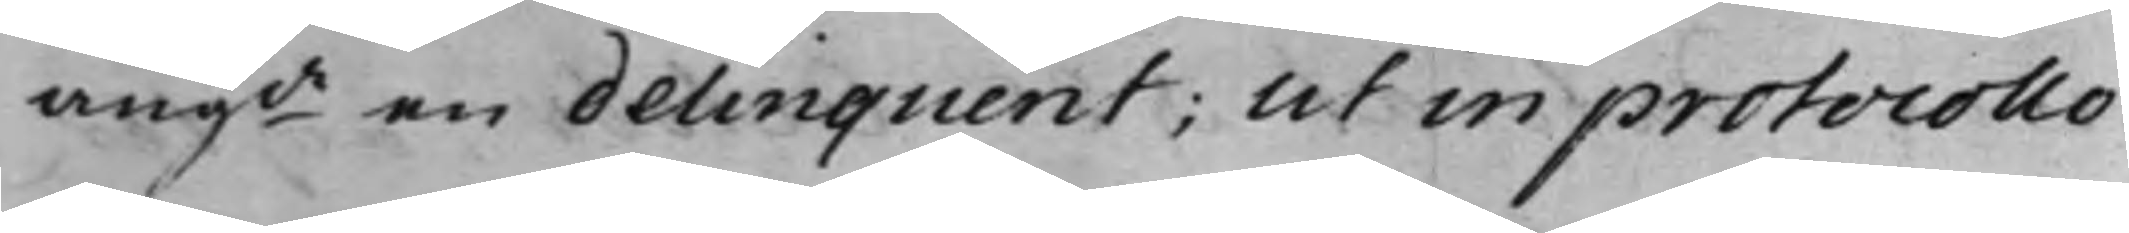angde en delinquent; Ut in protocollo
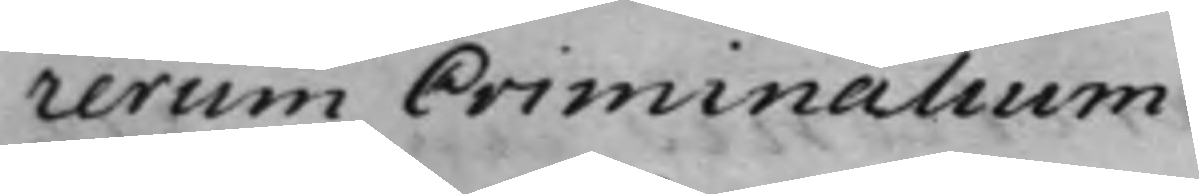rerum Criminalium.
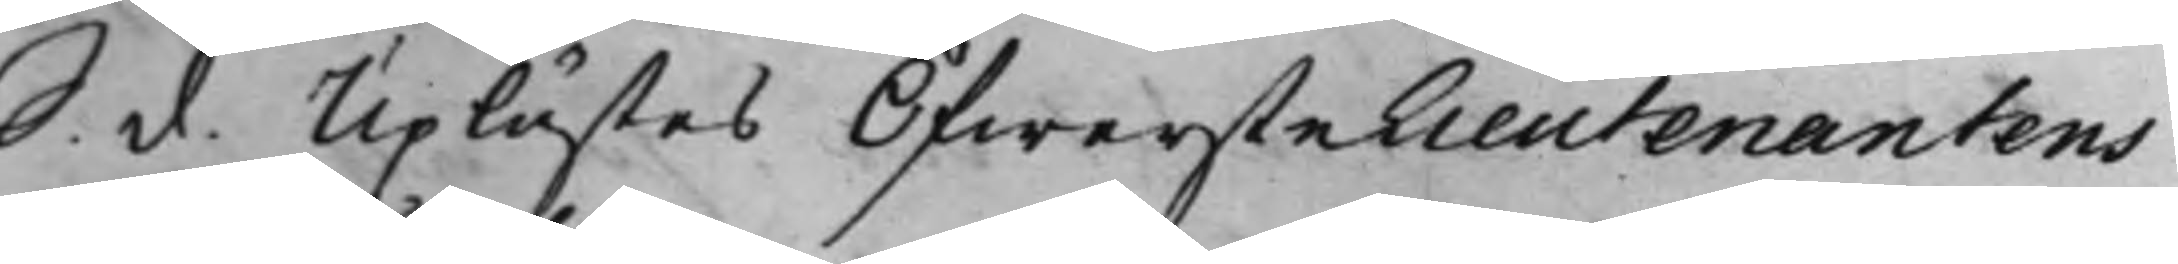S. d. Uplästes ÖfwersteLieutenantens
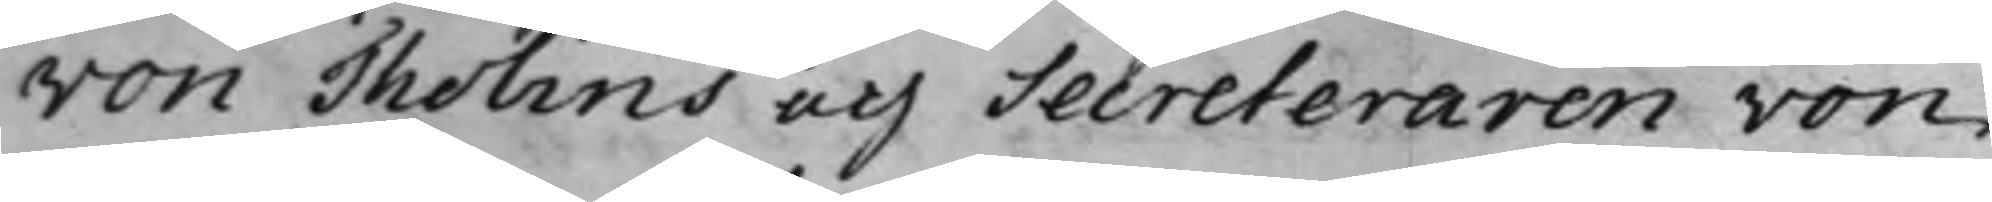von Tholins och Secreteraren von
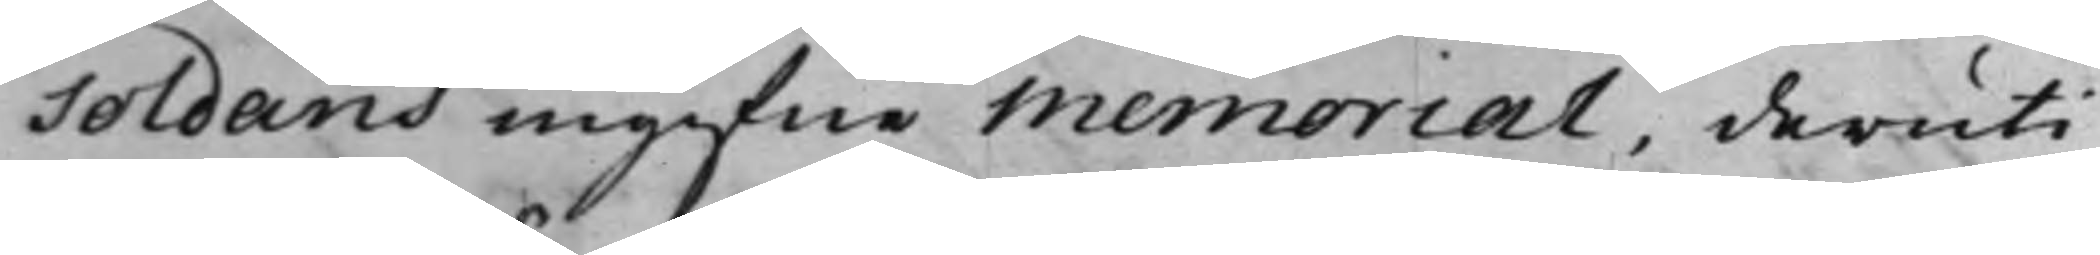Soldans ingifne Memorial, deruti
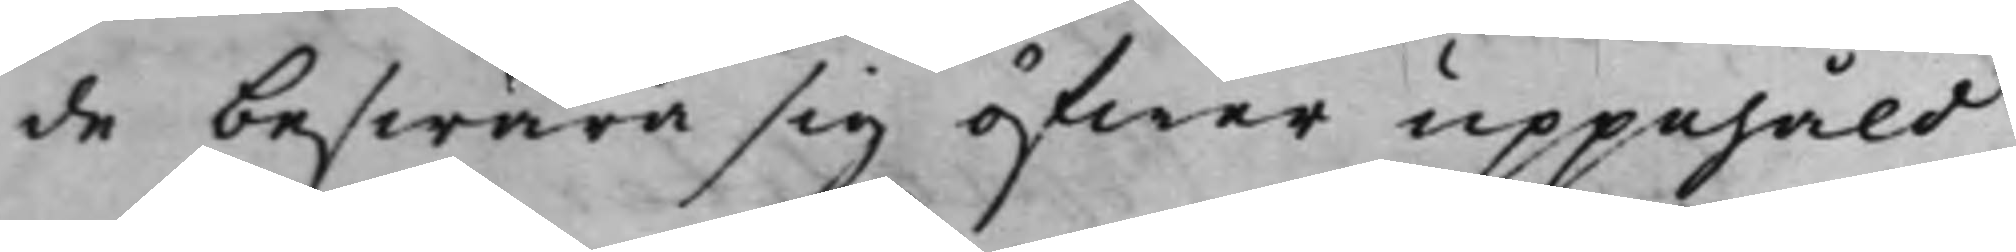de beswära sig öfwer uppehåld
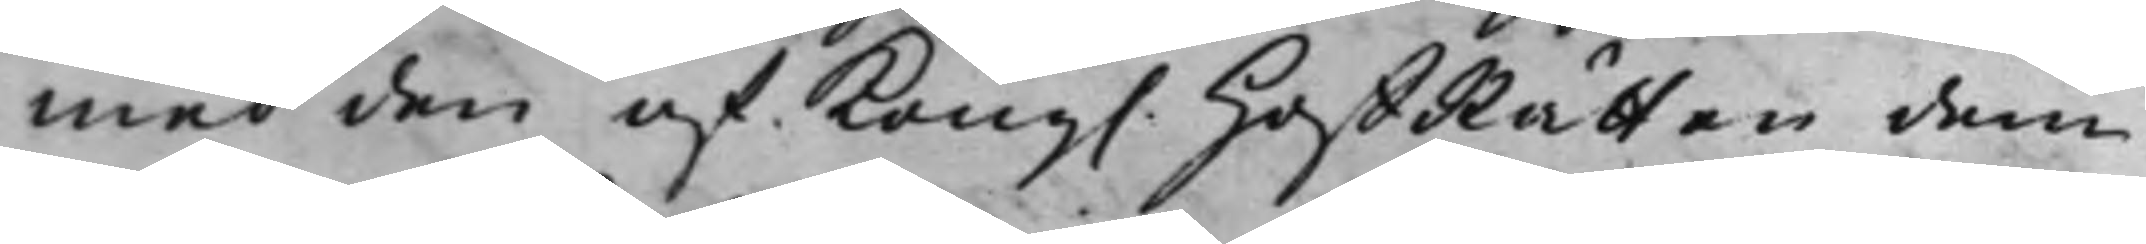med den af Kong. HoffRätten dem
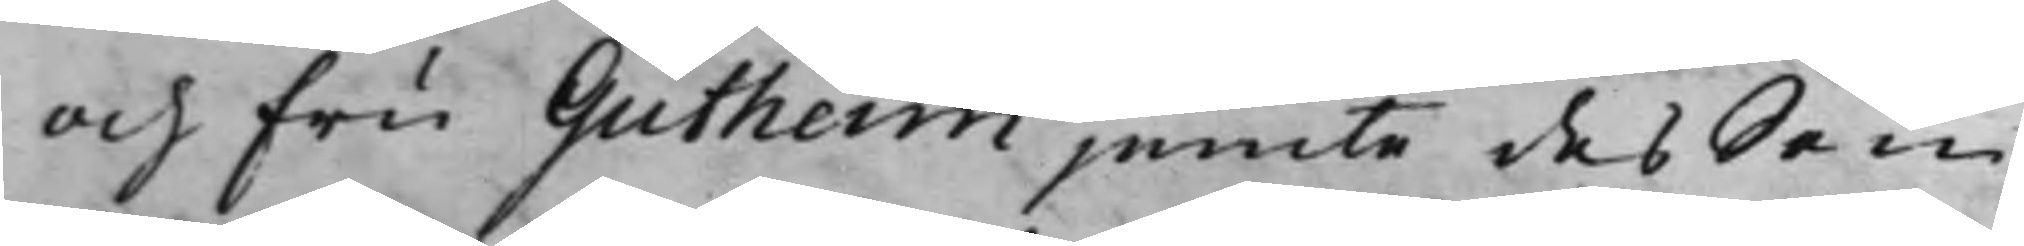och fru Gutheim jemte des Son
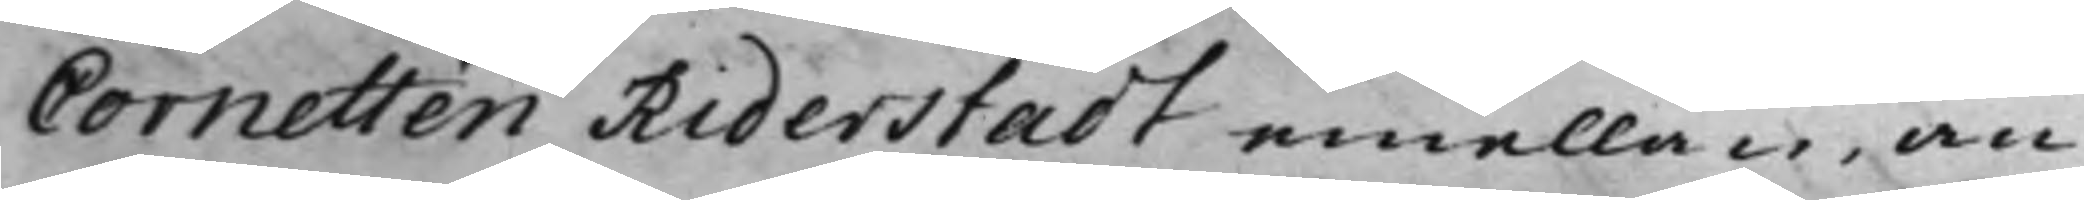Cornetten Riderstadt emellan, an¬
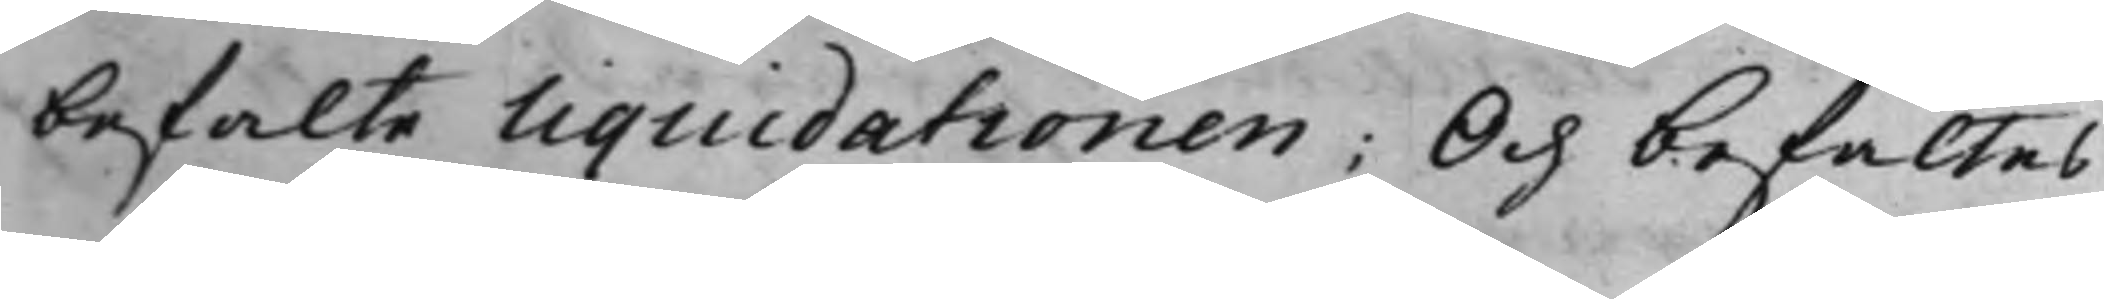befalte Liquidationen; Och befaltes
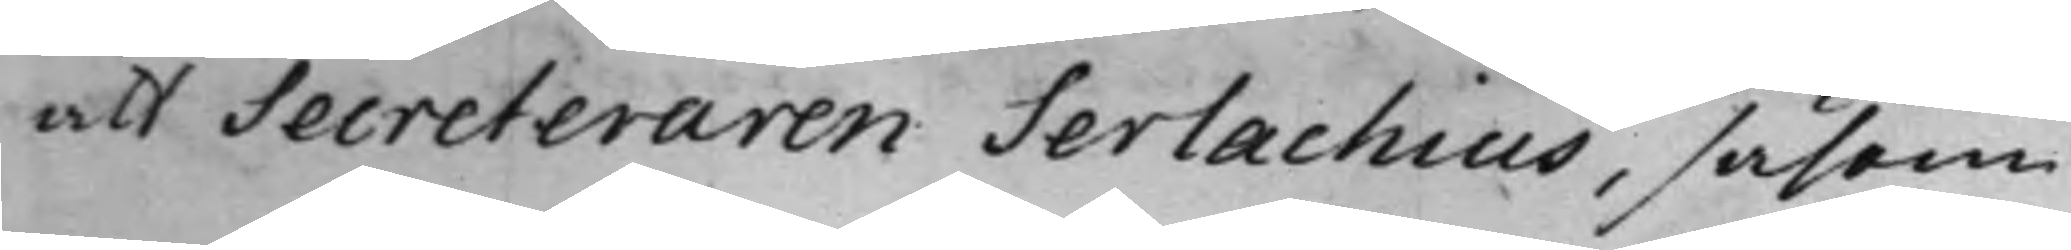att Secreteraren Serlachius, såsom
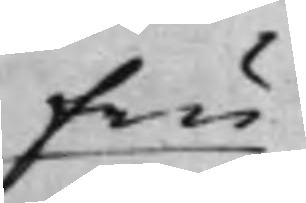fru
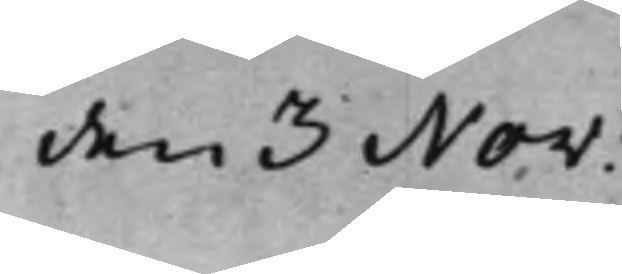den 3 Nov:
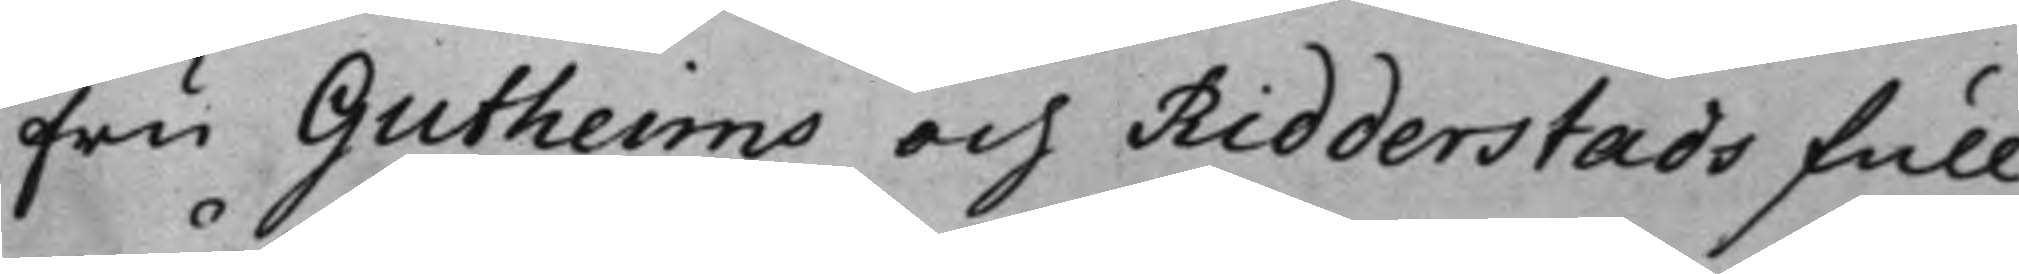fru Gutheims och Ridderstads full¬
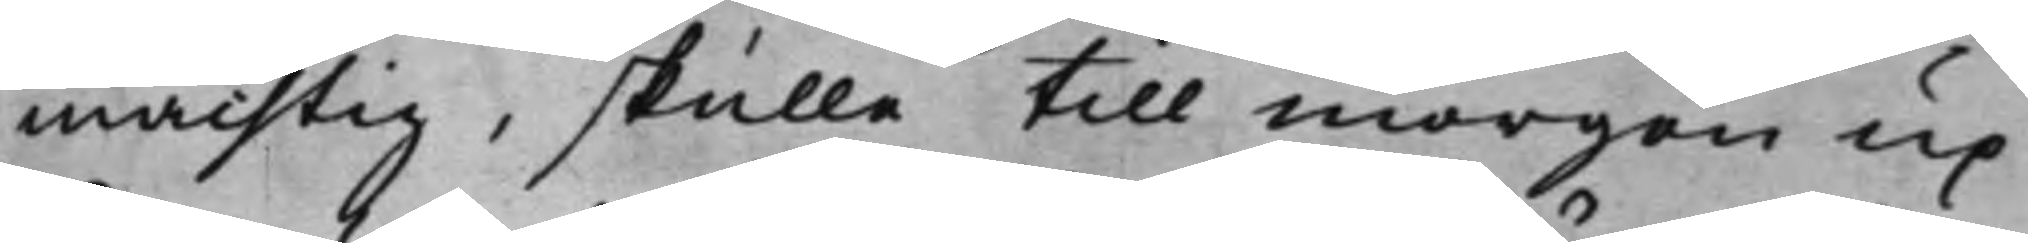mächtig, skulle till morgon up¬
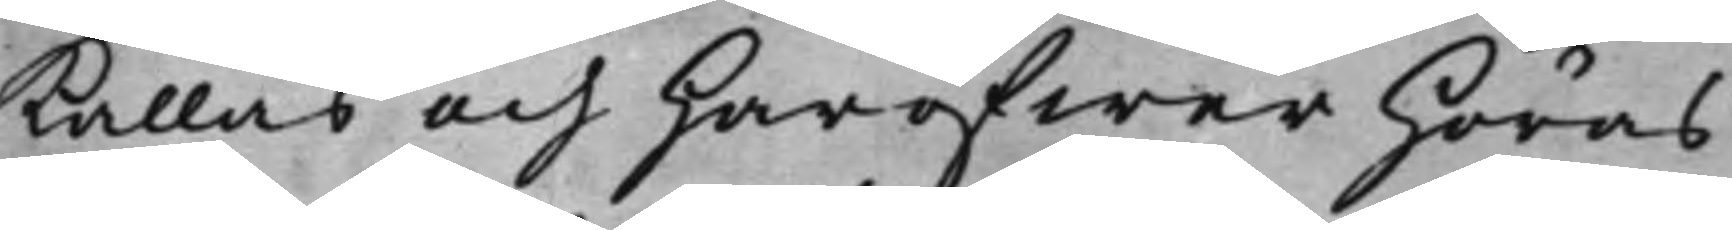kallas och haröfwer höras.
